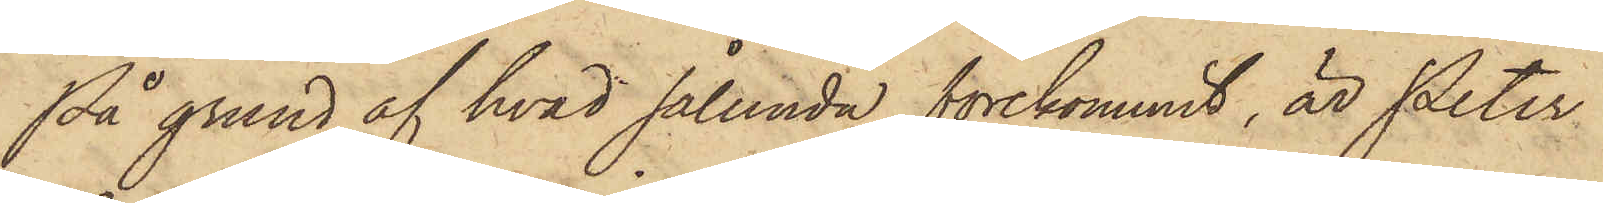På grund af hvad sålunda förekommit, är Peter
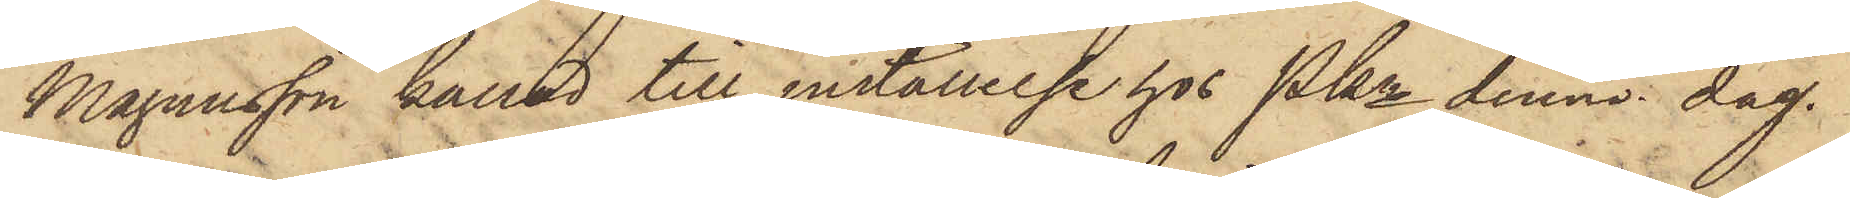Magnusson kallad till inställelse hos Pkn denna dag.
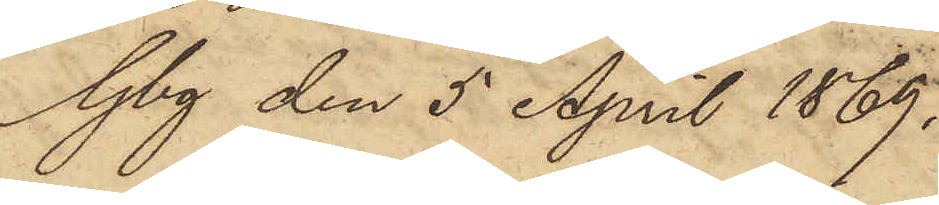Gbg den 5 April 1869.
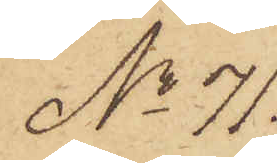No 71
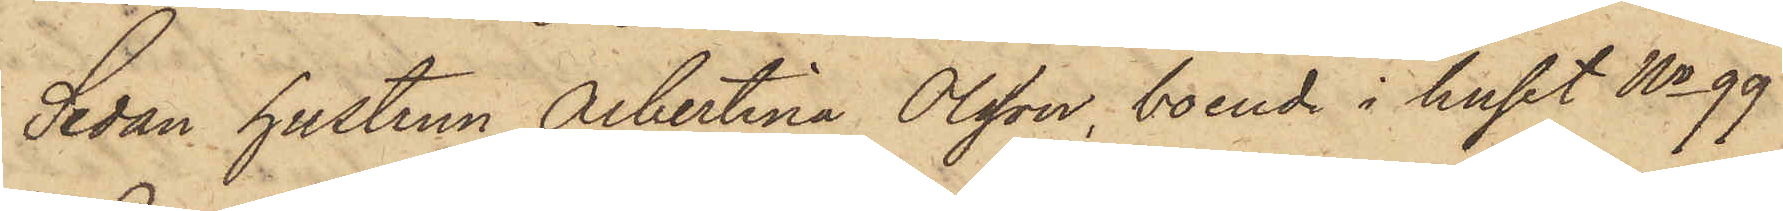Sedan hustrun Albertina Olsson, boende i huset No 99
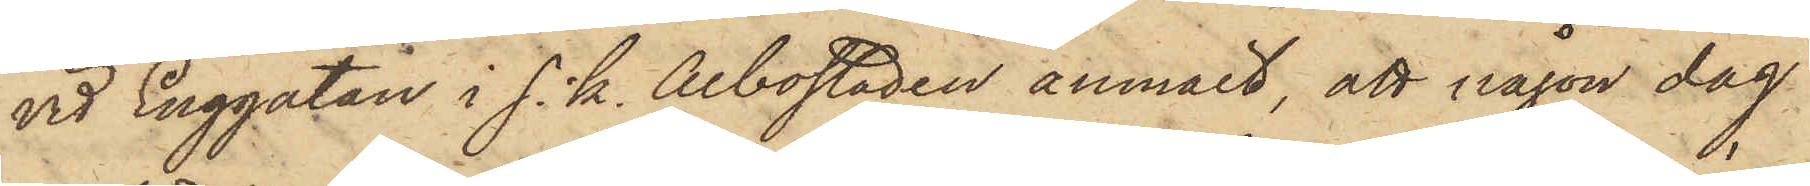vid Enggatan i s. k. Albostaden anmält, att någon dag
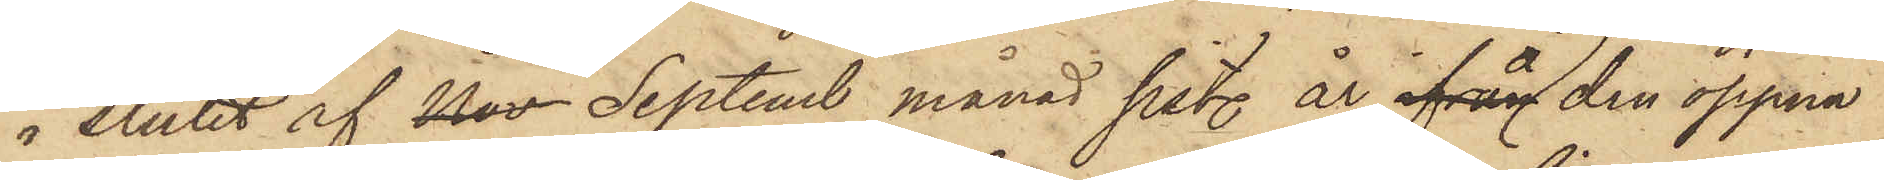i slutet af Nov Septemb månad sist. år ifrån å den öppna
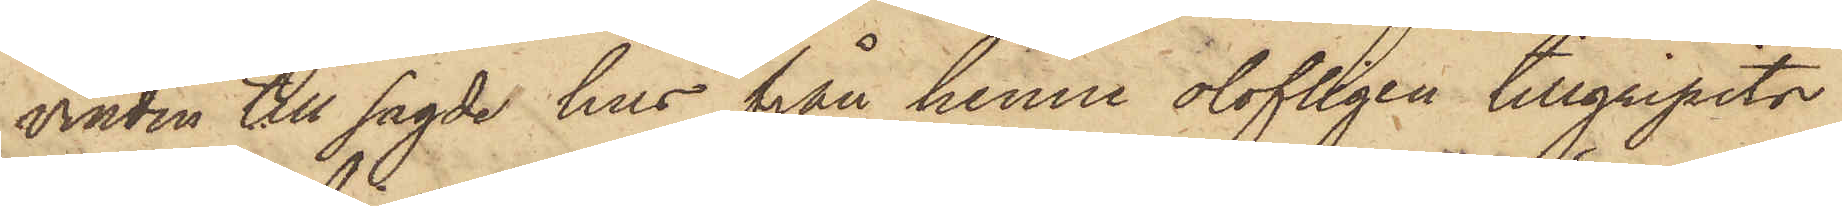vinden till sagde hus från henne olofligen tillgripits
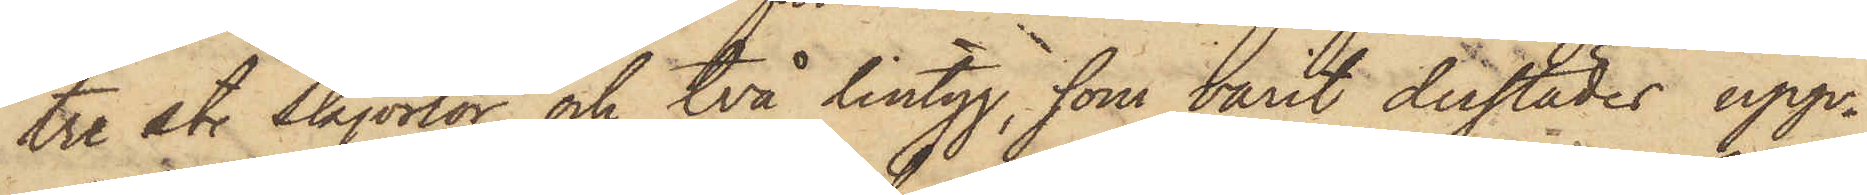tre st. skjortor och två lintyg, som varit derstädes upp¬
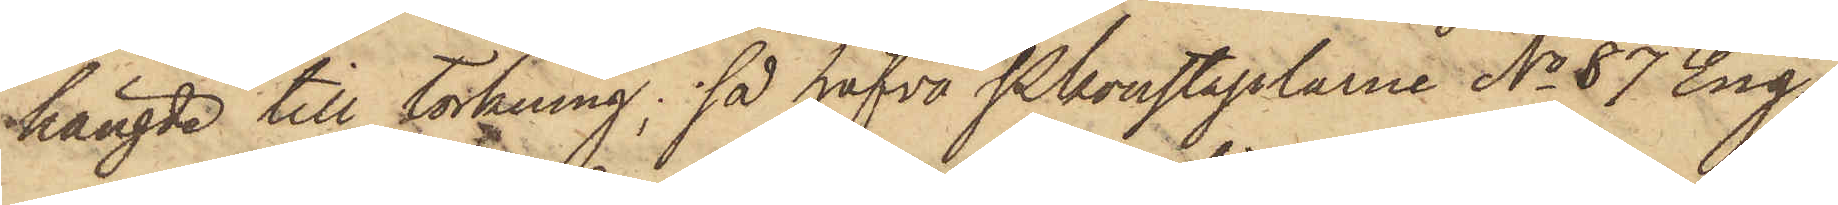hängde till torkning; så hafva Pkonstaplarne No 87 Eng¬
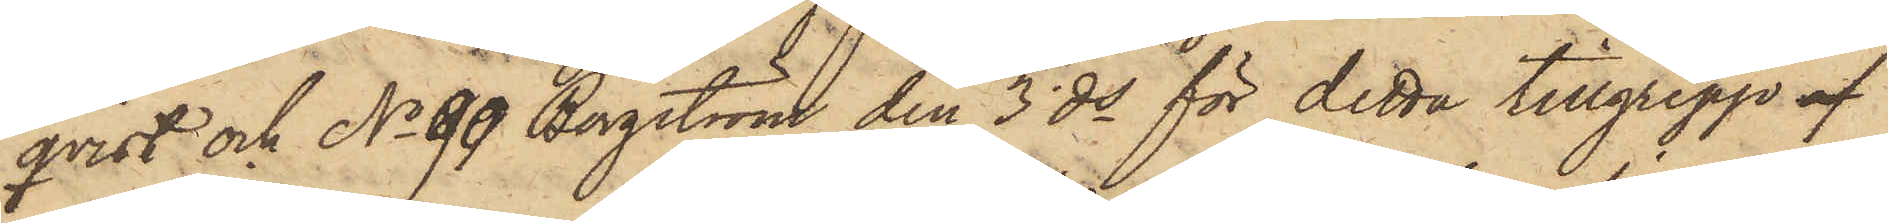qvist och No 99 Bergström den 3 ds för detta tillgrepp af
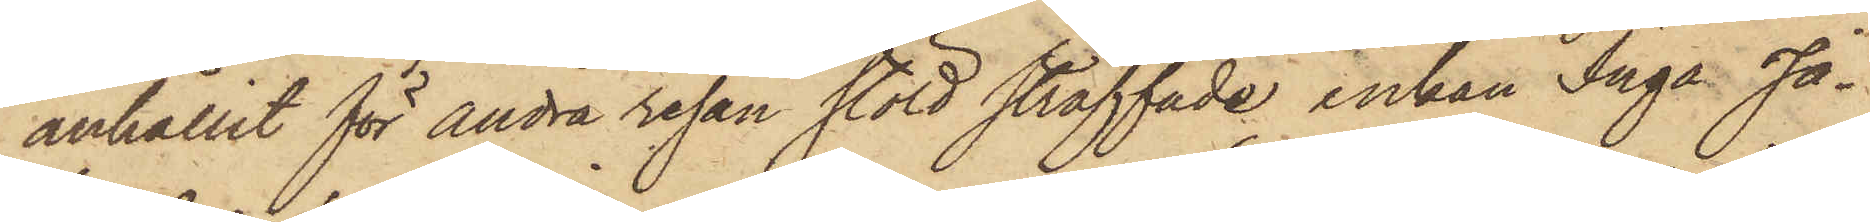anhållit för andra resan stöld straffade Enkan Inga Ja¬
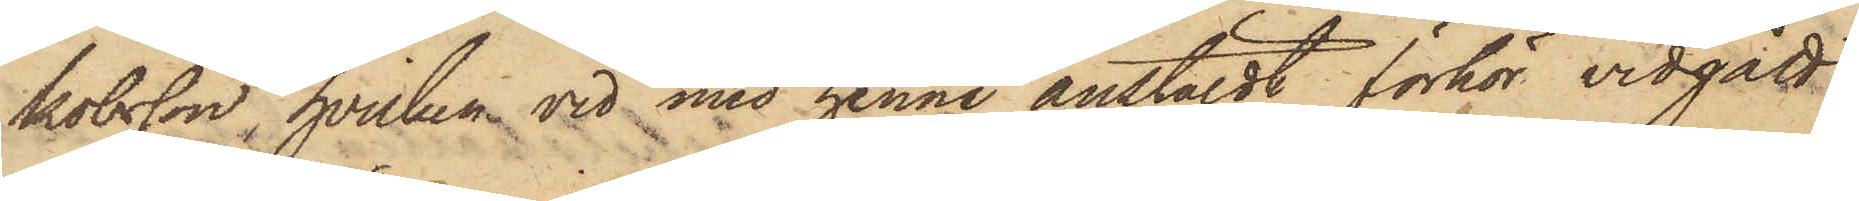kobsson, hvilken vid med henne anstäldt förhör vidgått
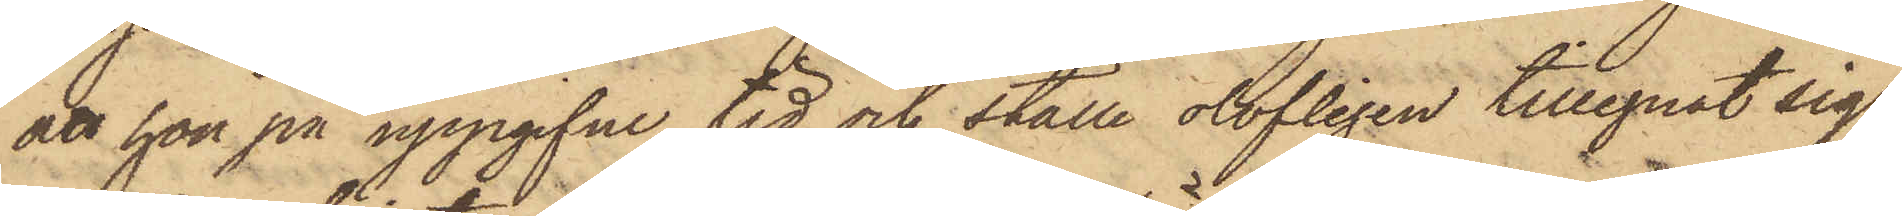att hon på uppgifne tid och ställe olofligen tillegnat sig
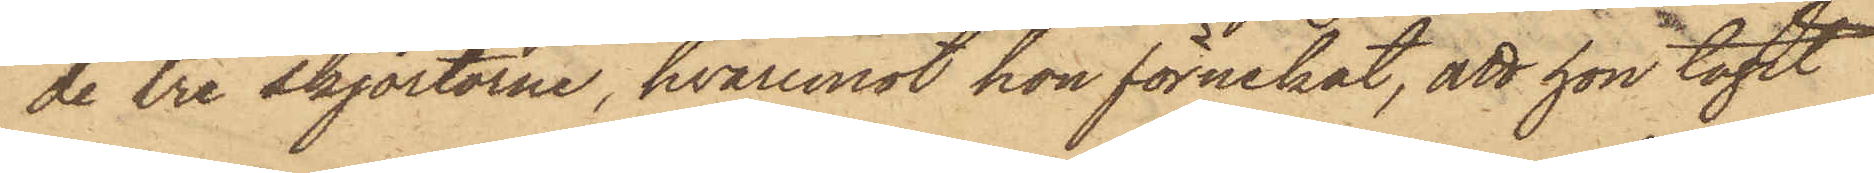de tre skjortorne, hvaremot hon förnekat, att hon tagit
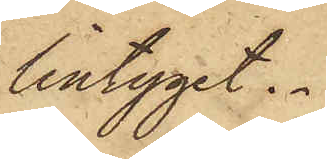lintyget.
